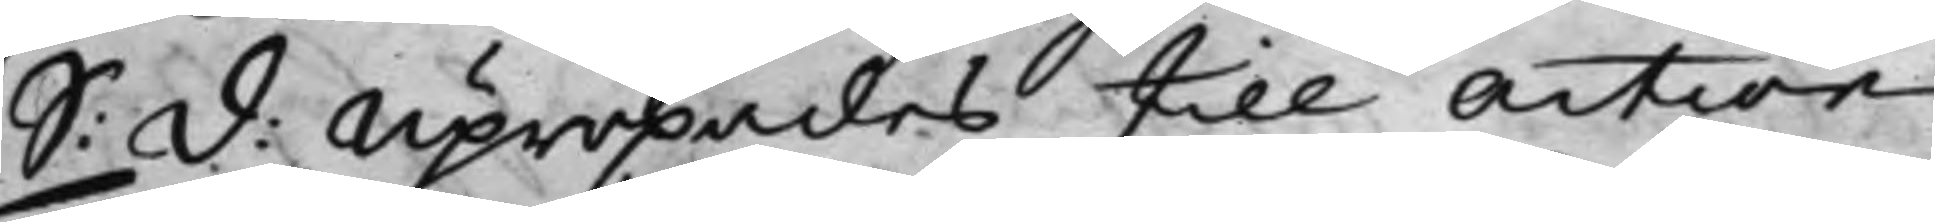S: d: Upropades till action 
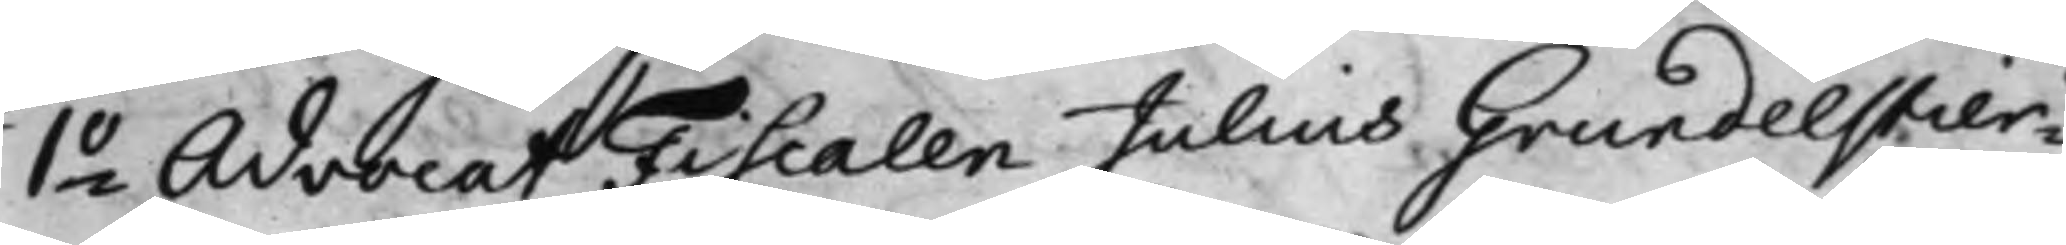1.o Advocat Fiscalen Julius Grundelstier¬ 
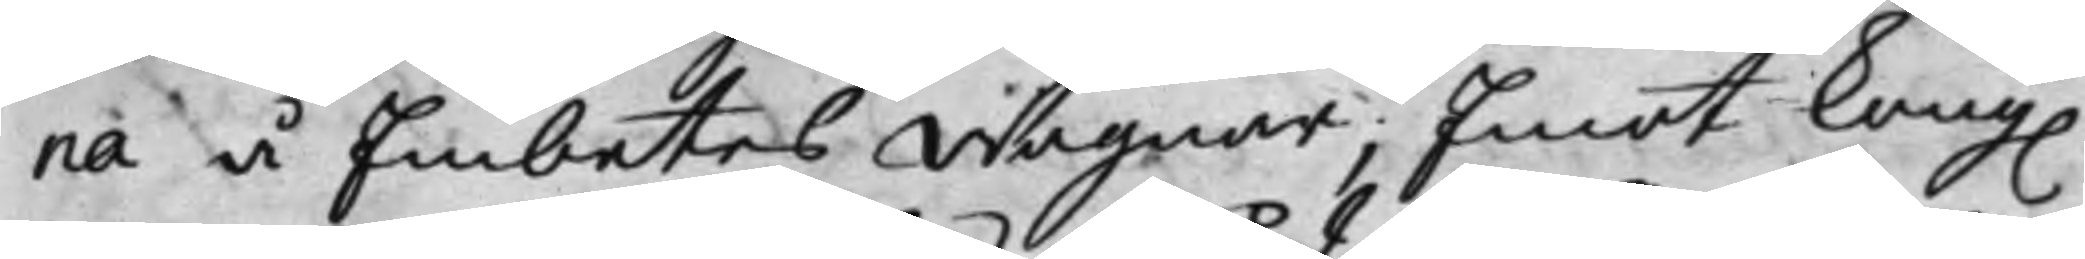na å Embetes wägnar; Emot Kong. 
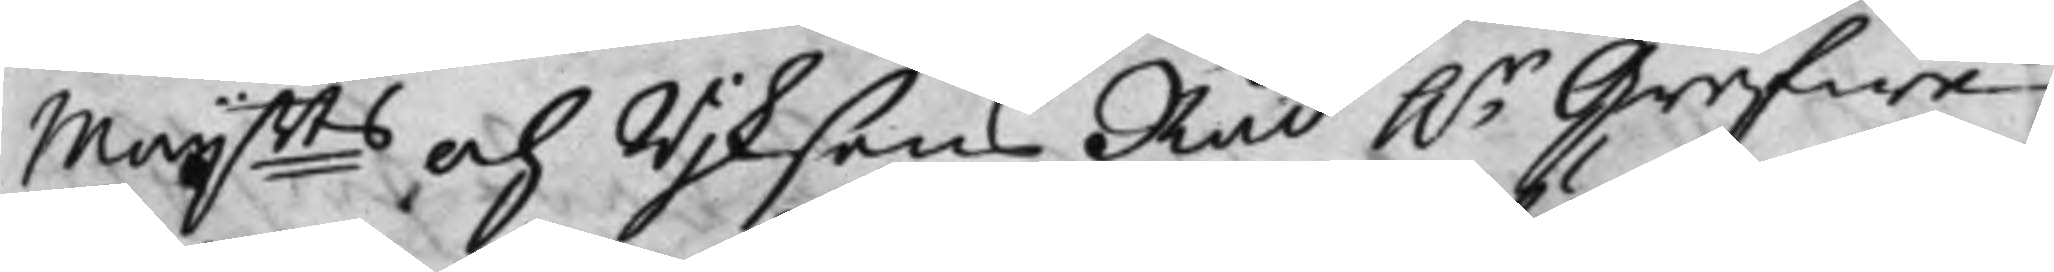Maij:tts och Wijksens Råd h.r Grefwe 
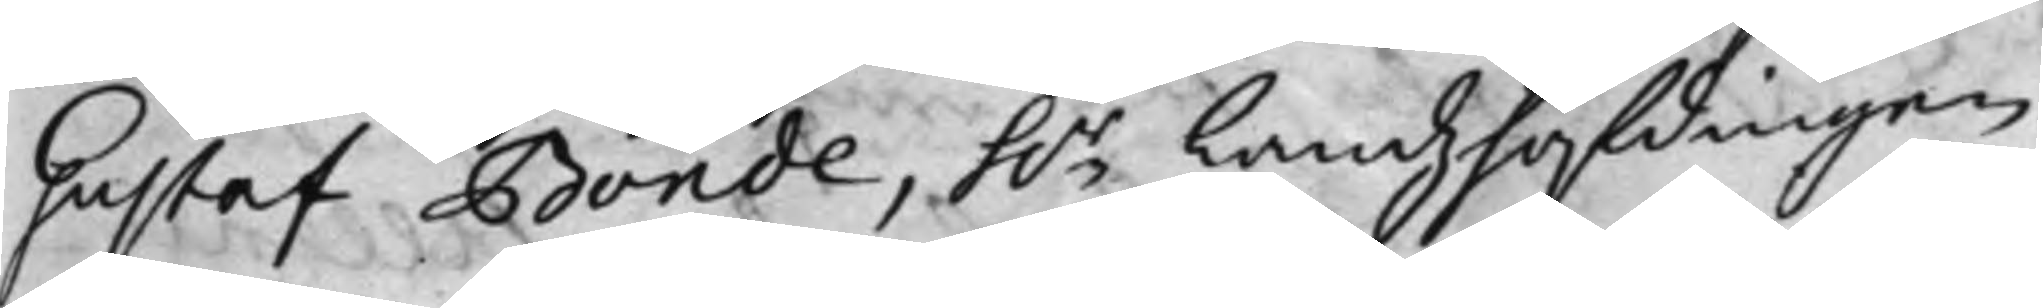Gustaf Bonde, h.r Landzhöfdingen 
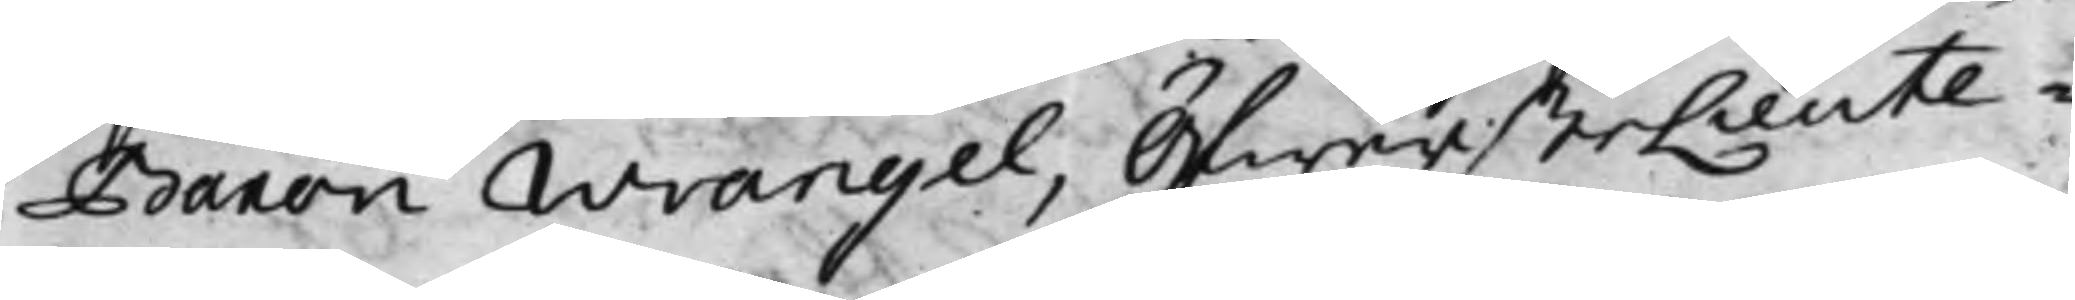Baron Wrangel, ÖfwersteLieute¬
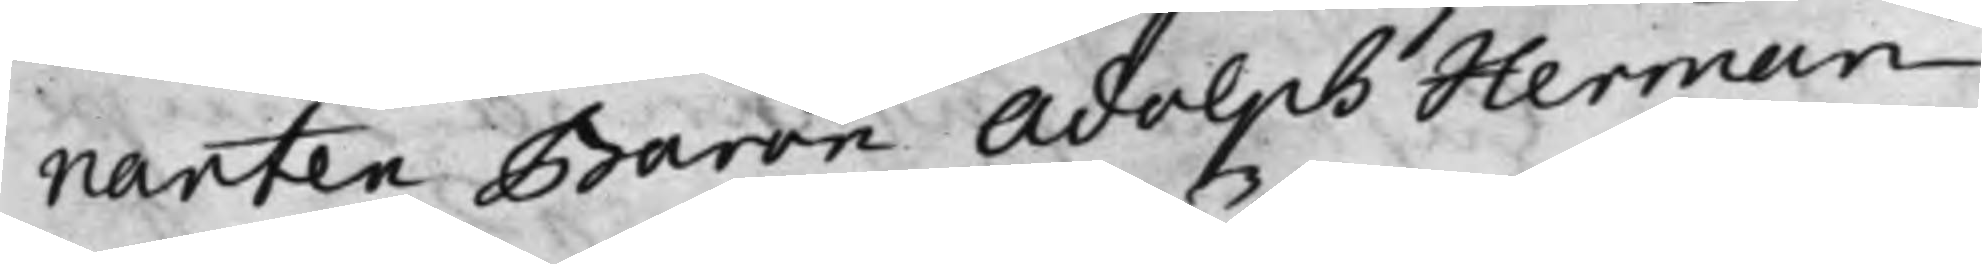nanten Baron Adolph Herman
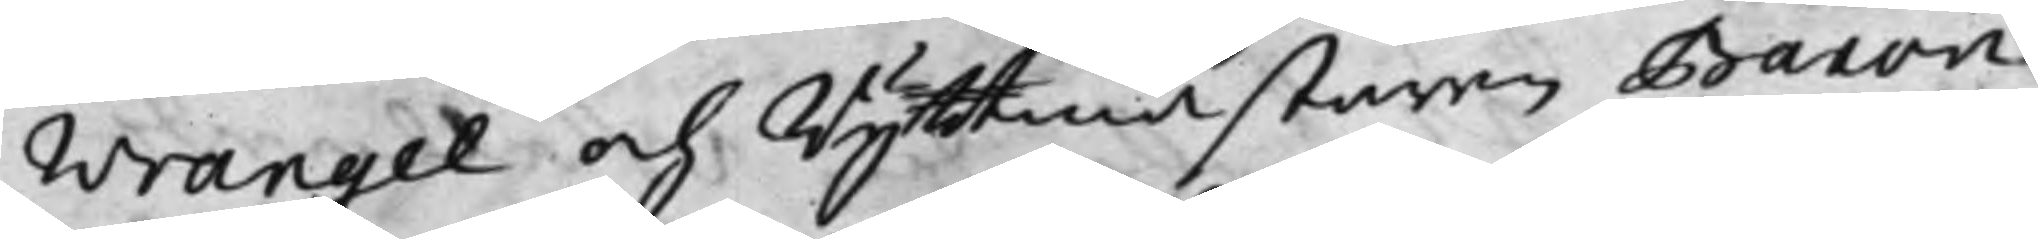Wrangel och Ryttmästaren Baron
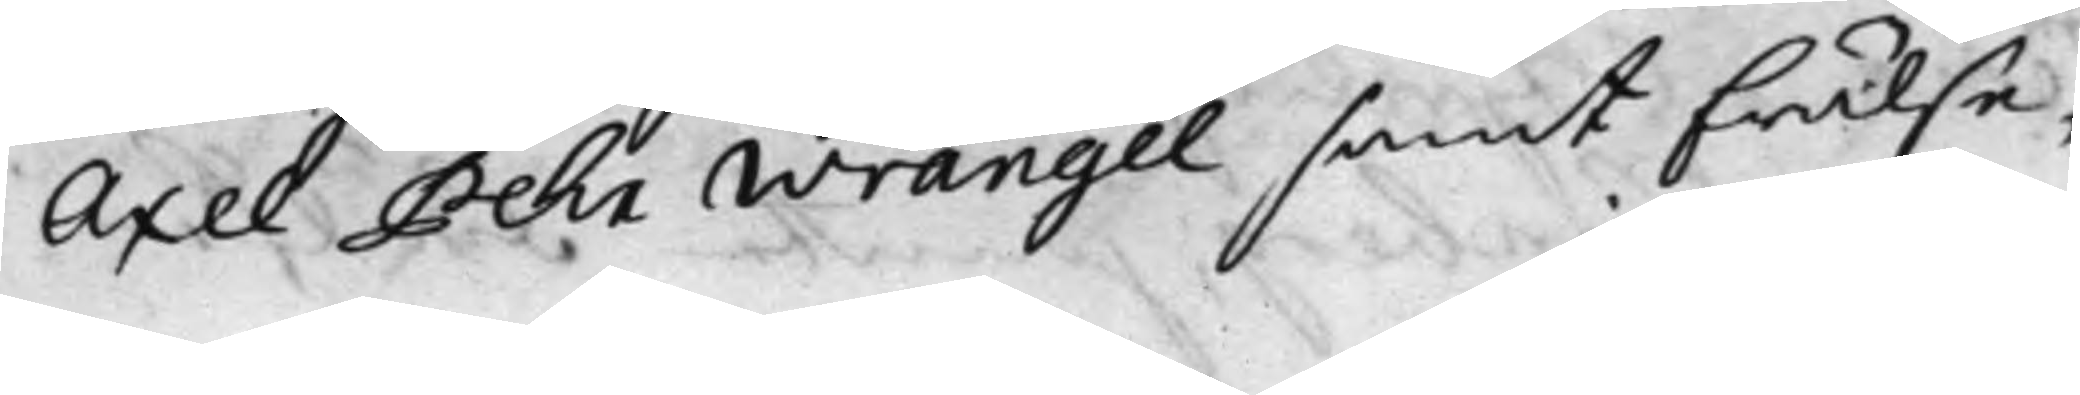Axel Pehr Wrangel samt Frälse¬
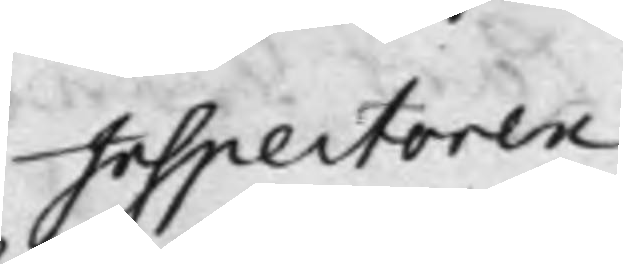Inspectoren
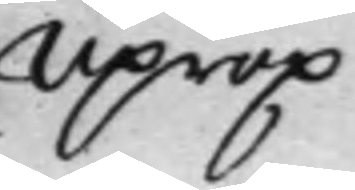Uprop
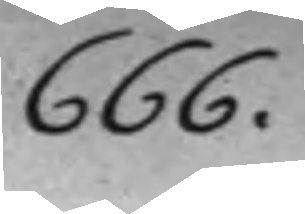666.
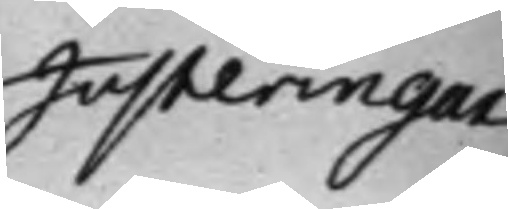Justeringar 
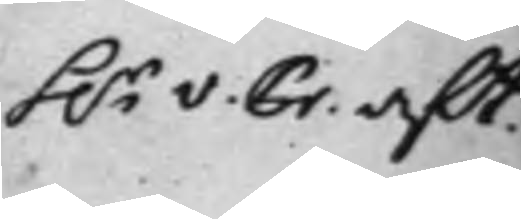S. S. aft 
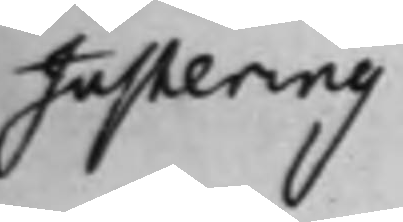Justering.
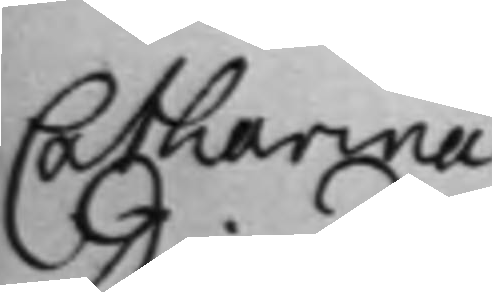Catharina
